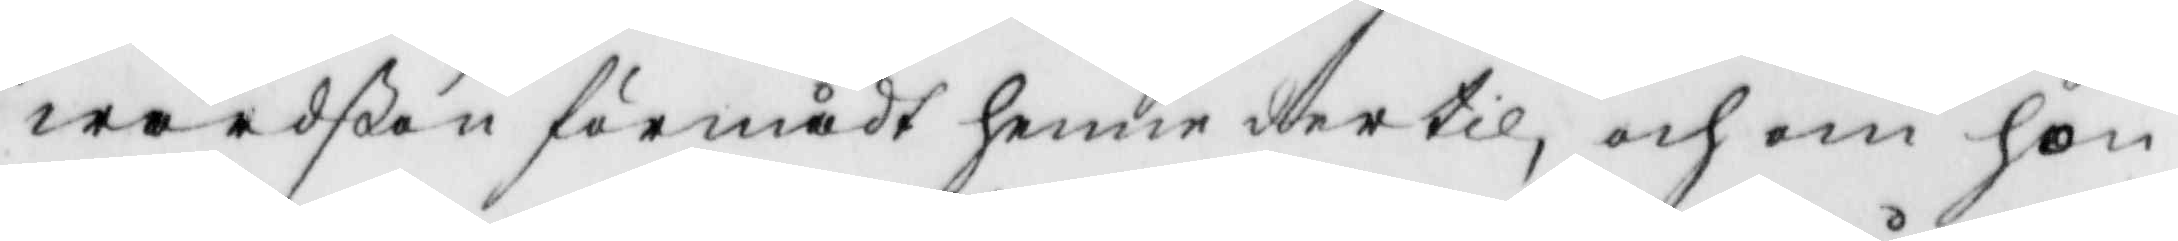wardßon förmådt henne dertil, och om hon
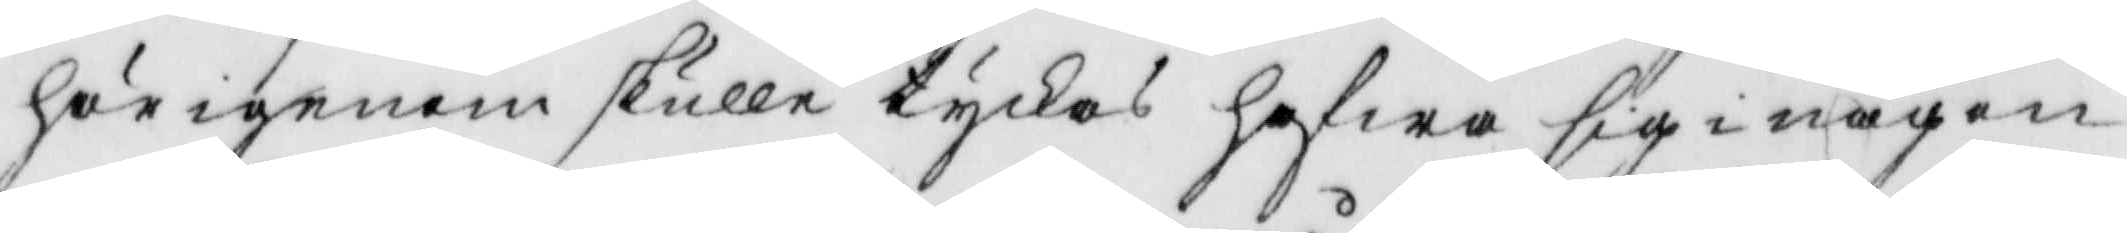härigenom skulle tyckas hafwa sig i någon
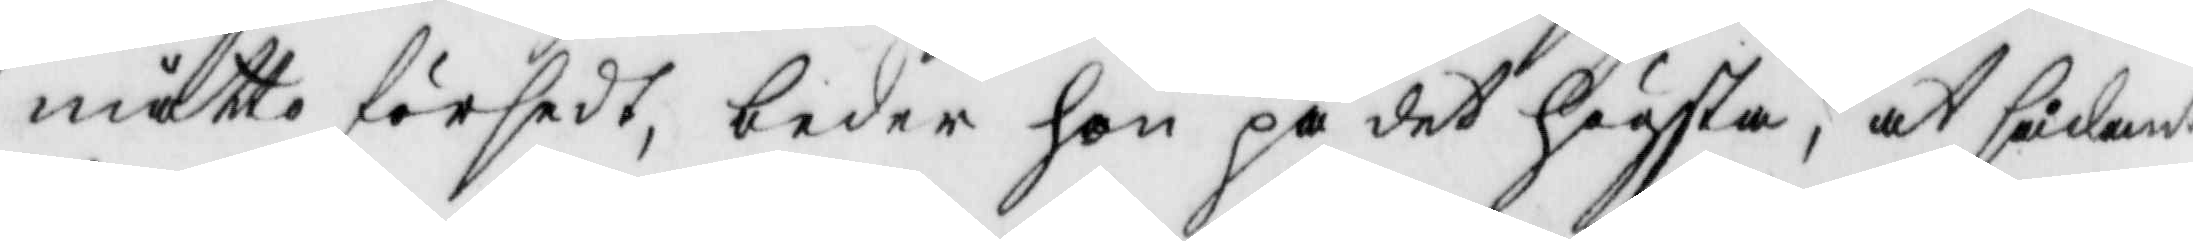måtto försedt, beder hon på det högsta, at sådant
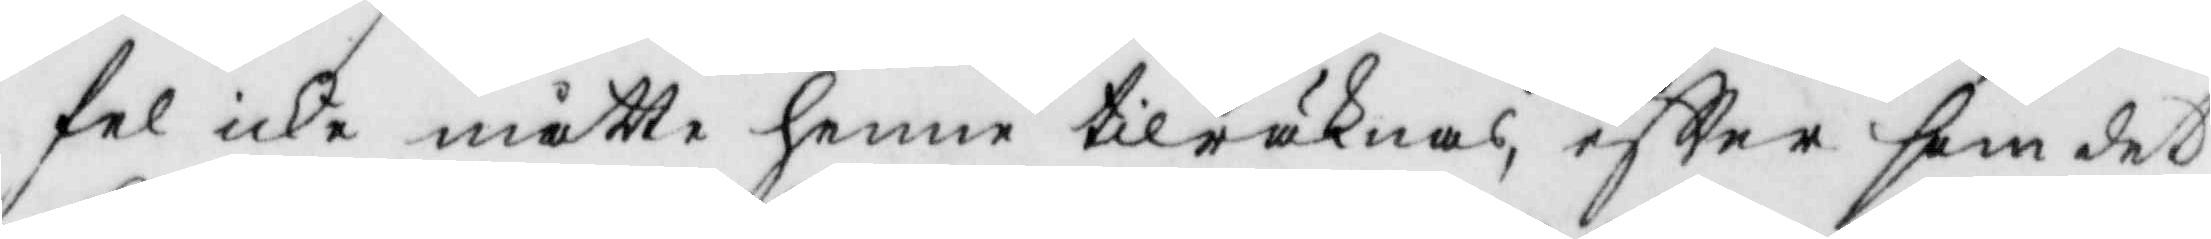fel icke måtte henne tilräknas, eftter som det
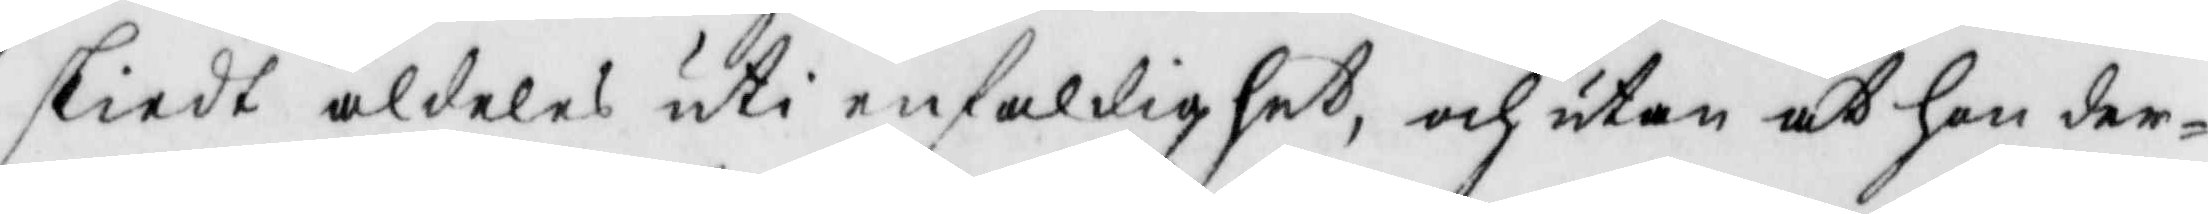skiedt aldeles uti enfaldighet, och utan at hon der¬
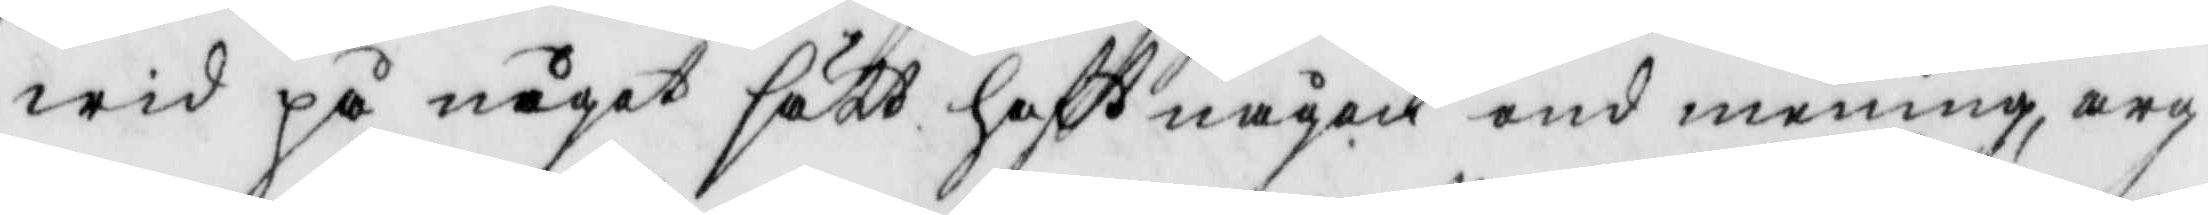wid på något sätt haftt någon ond mening, arg
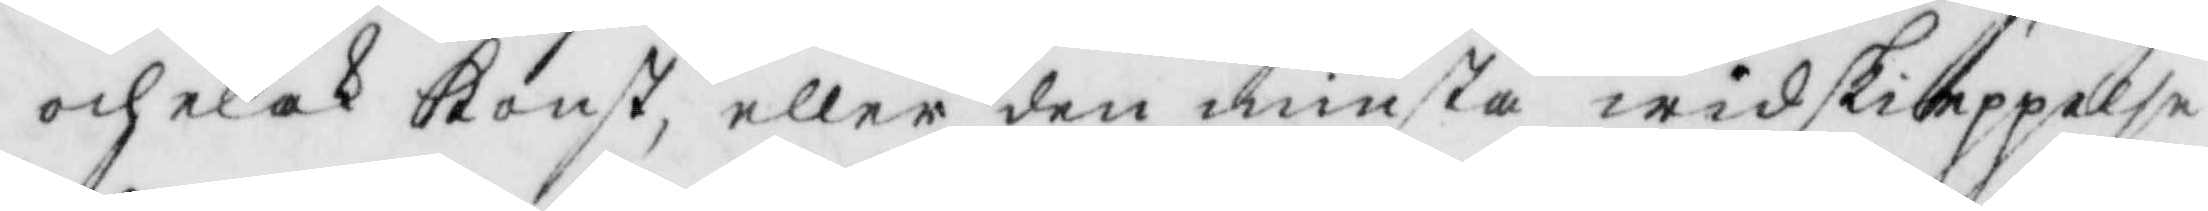och elak konst, eller den minsta widskieppelse
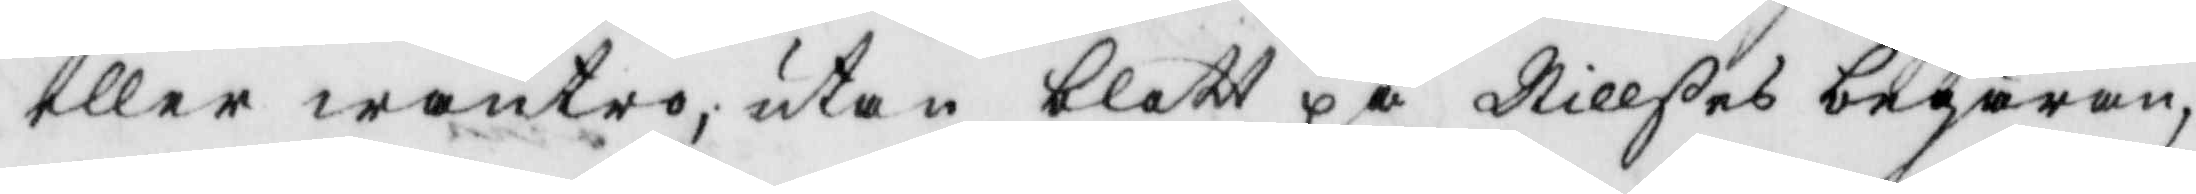eller wantro, utan blott på Nillßes begäran,
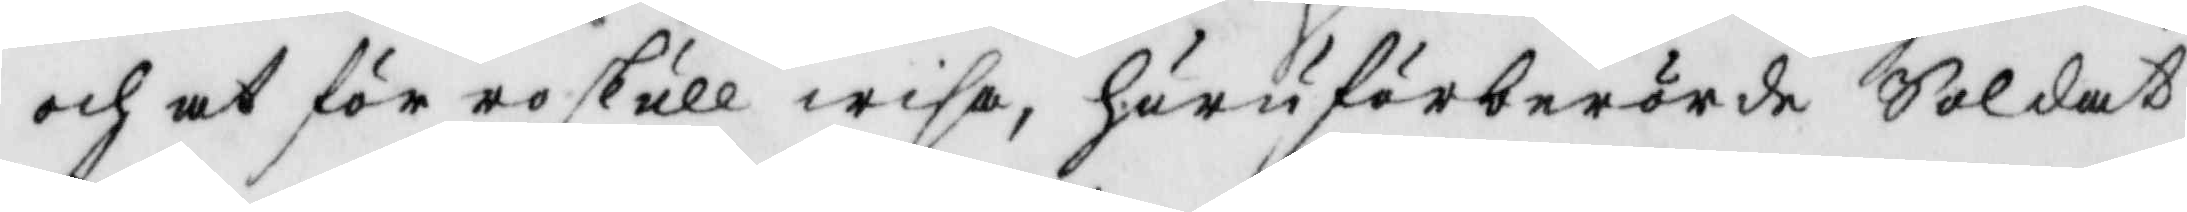och at för ro skull wisa, huru förberörde Soldat
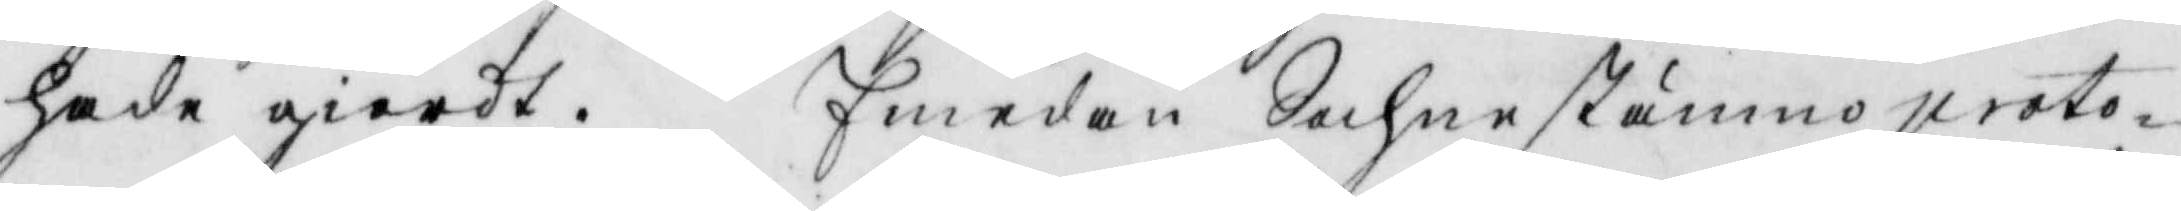hade giordt. Emedan Sochnestämmo proto¬
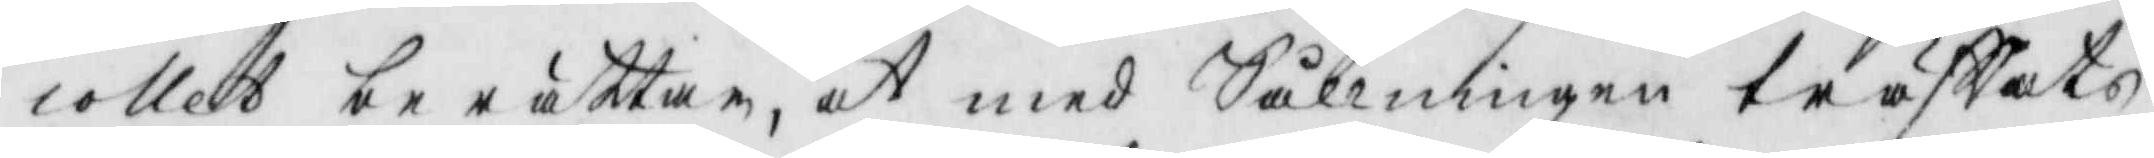collet berättar, at med Sållningen träffats
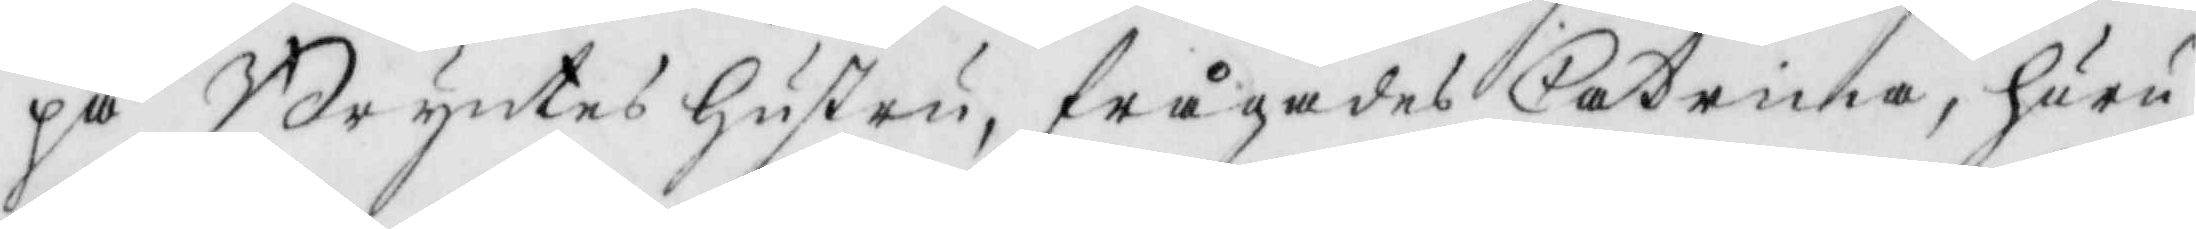på Bryntes hustru, frågades Catrina, huru
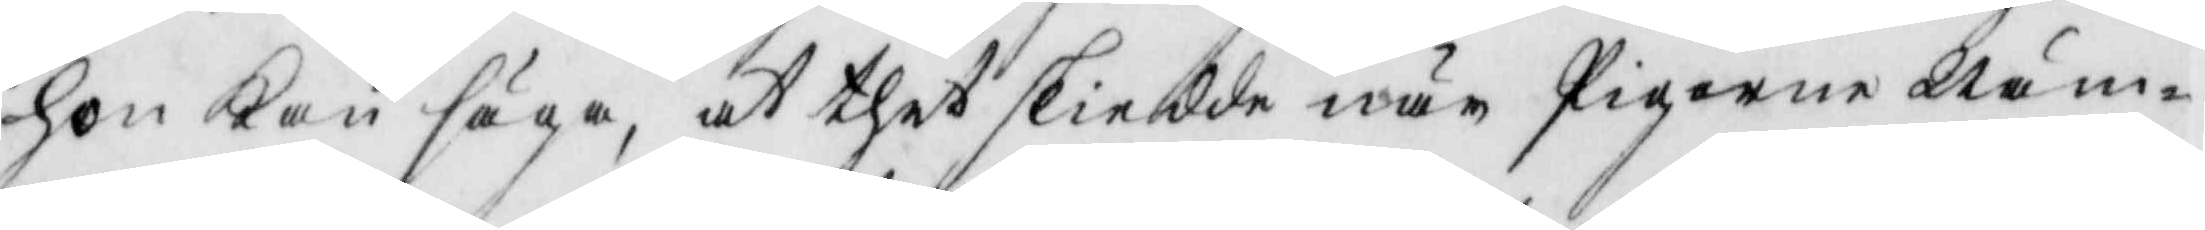hon kan säga, at thet skiedde när Pigorne Näm¬
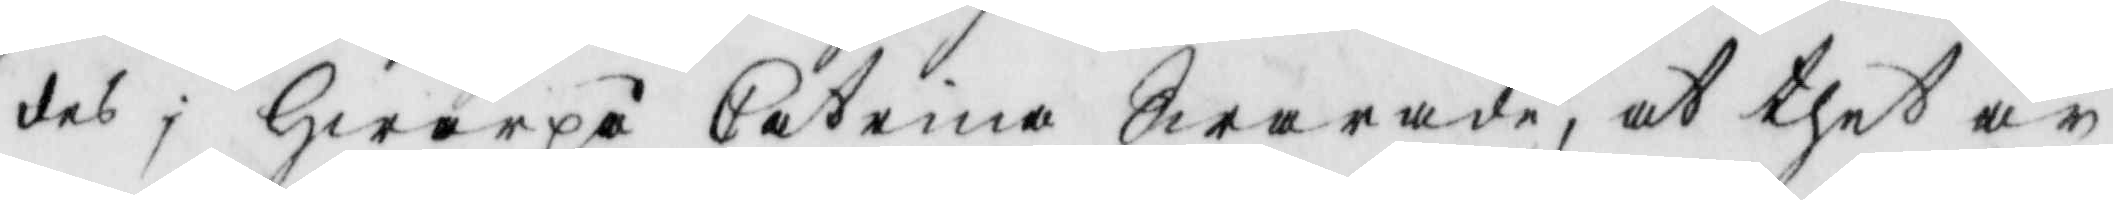des; Hwarpå Catrina Swarade, at thet är
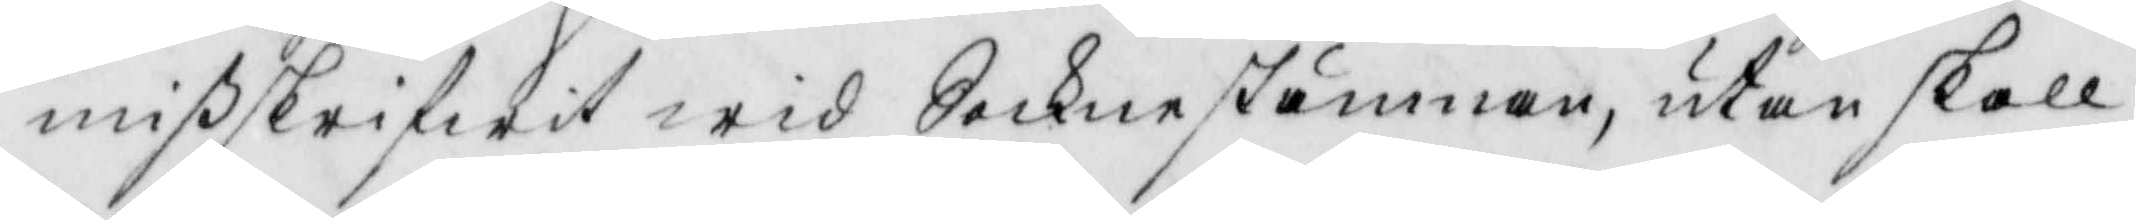mißskrifwit wid Sochnestämman, utan skall
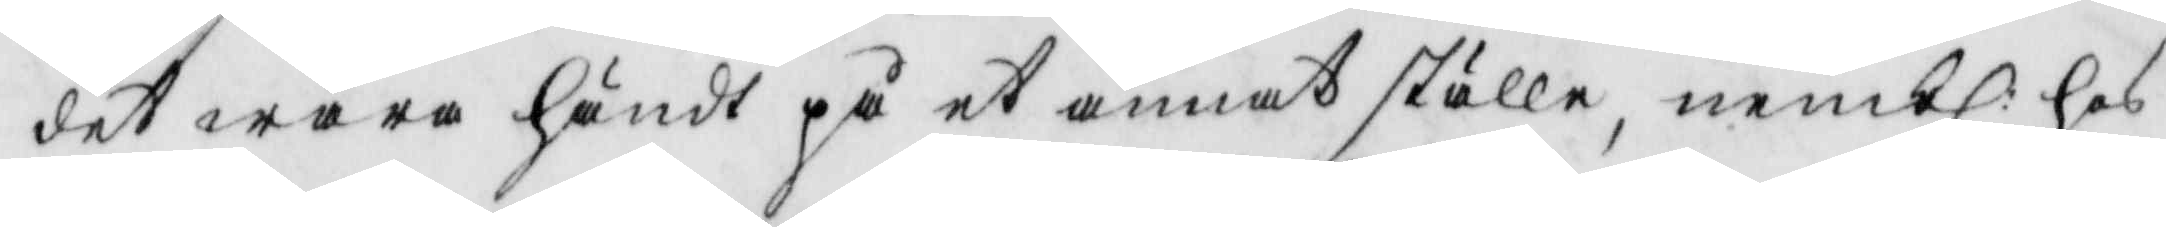det wara händt på et annat ställe, nembl: hos
